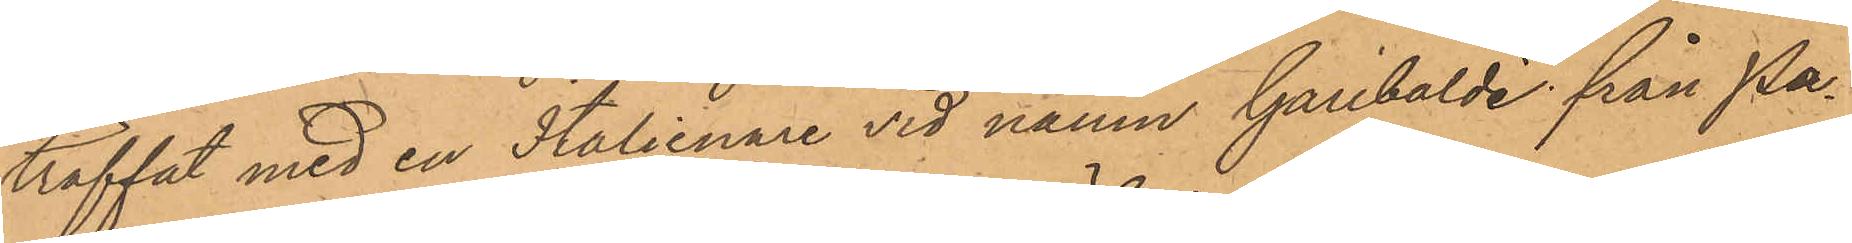träffat med en Italienare vid namn Garibaldi från Pa¬
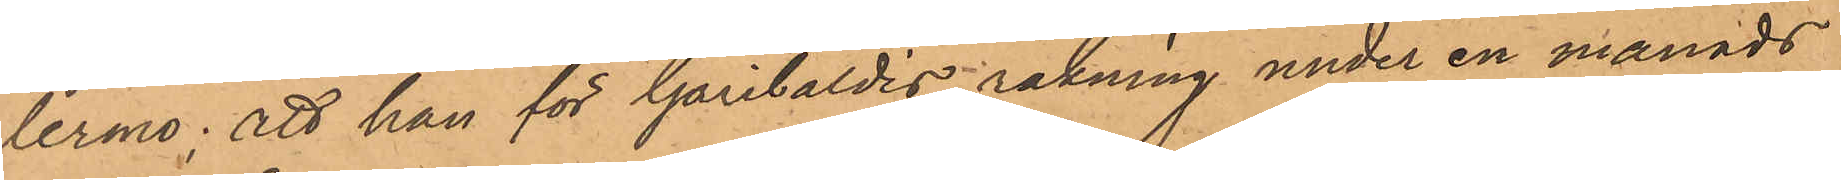lermo; att han för Garibaldis räkning under en månads
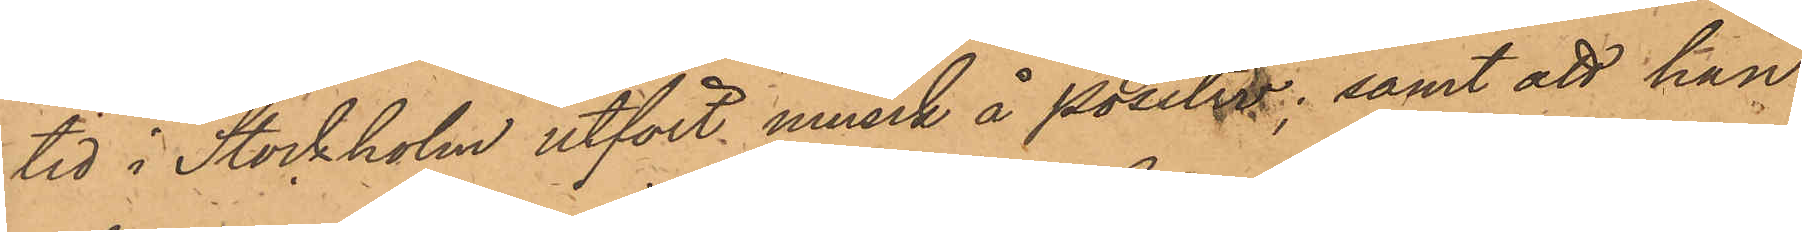tid i Stockholm utfört musik å positiv; samt att han
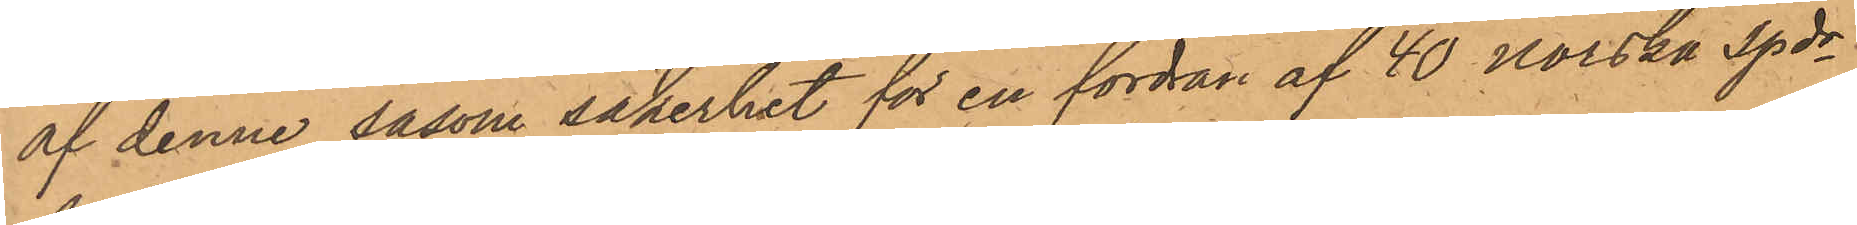af denne såsom säkerhet för en fordran af 40 Norska Spdr
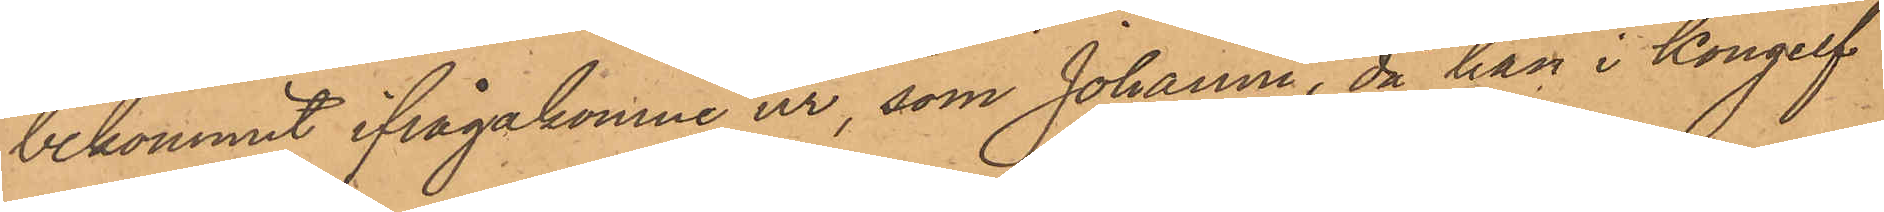bekommit ifrågakomne ur, som Johanne, då han i Kongelf
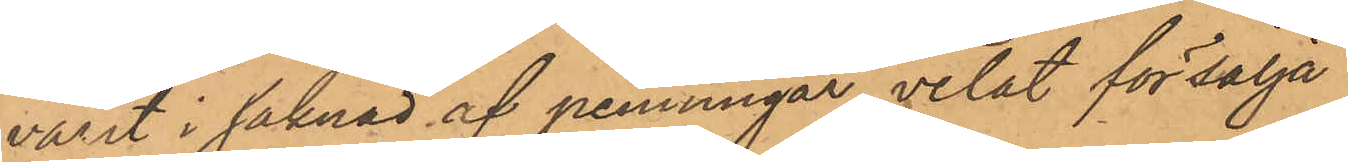varit i saknad af penningar, velat försälja
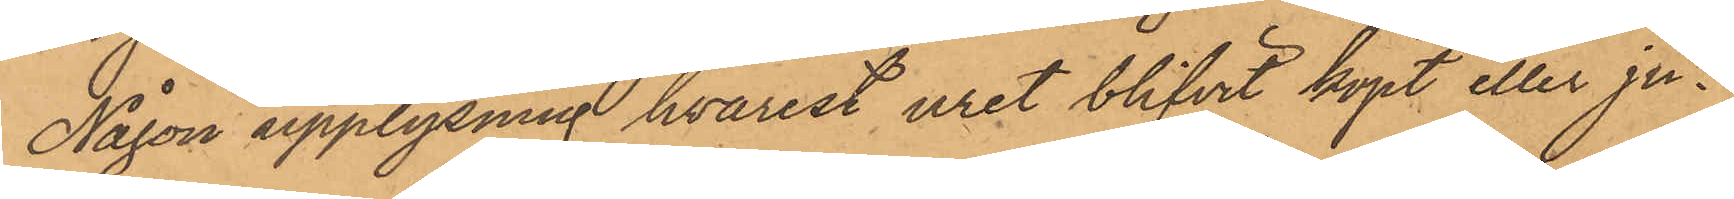Någon upplysning hvarest uret blifvit köpt eller ju¬
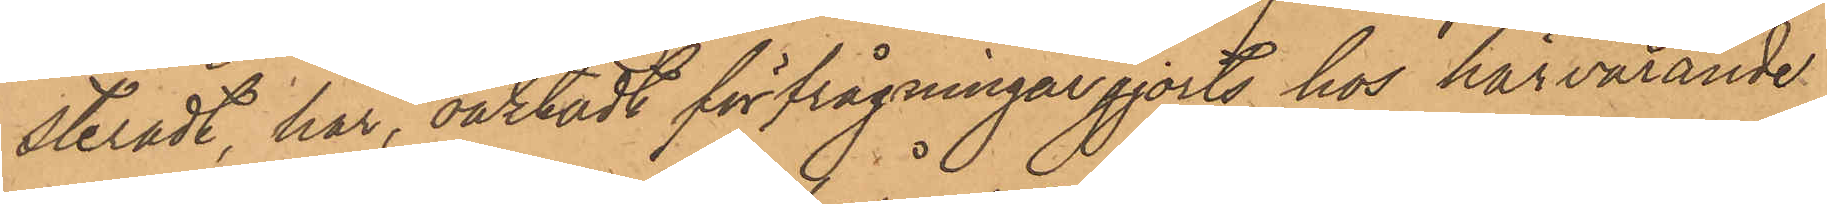steradt, har, oaktadt förfrågningar gjorts hos härvarande
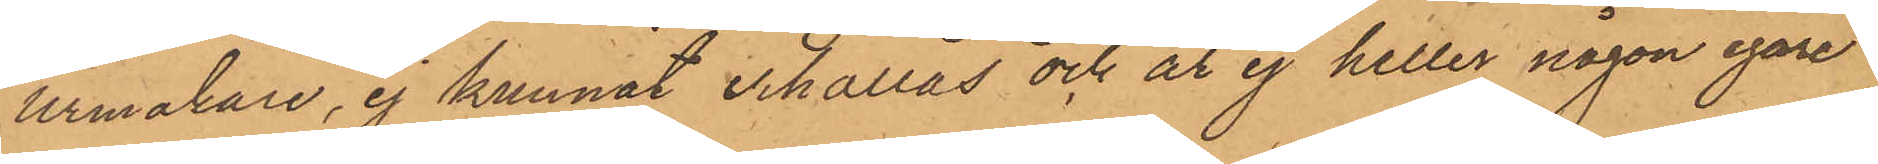Urmakare, ej kunnat erhållas och är ej heller någon egare
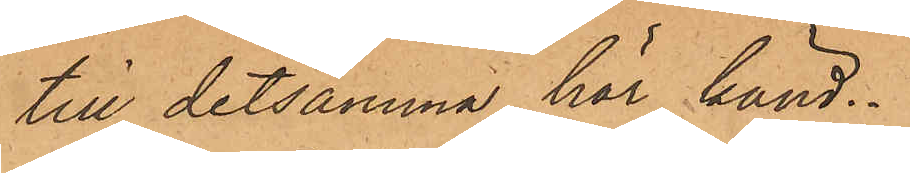till detsamma här känd.
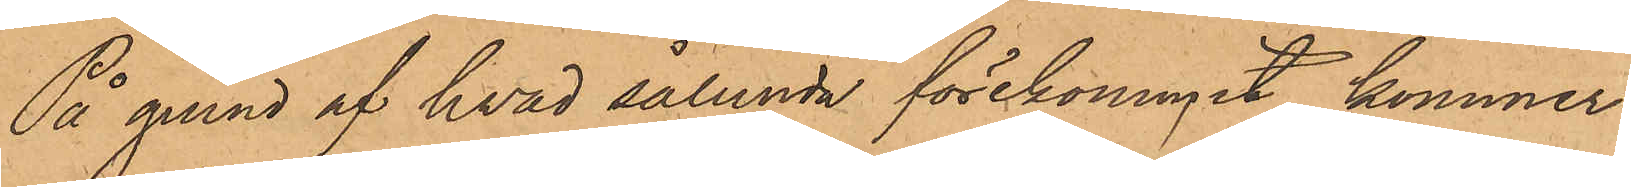På grund af hvad sålunda förekommit, kommer
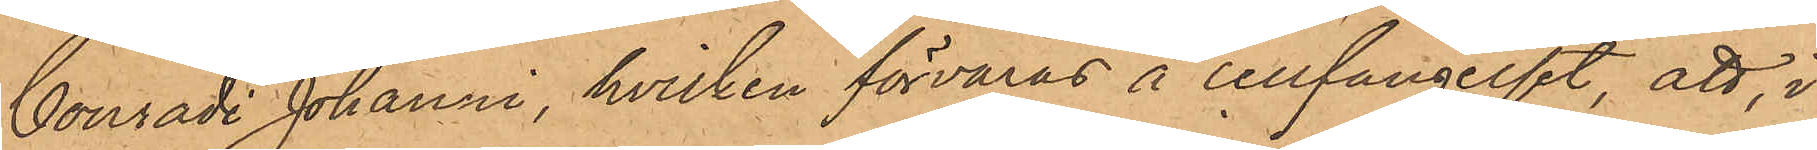Conradi Johanni, hvilken förvaras å cellfängelset, att, i
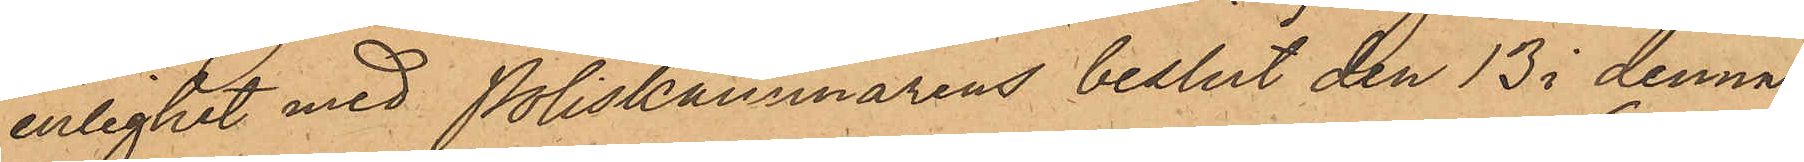enlighet med Poliskammarens beslut den 13 i denna
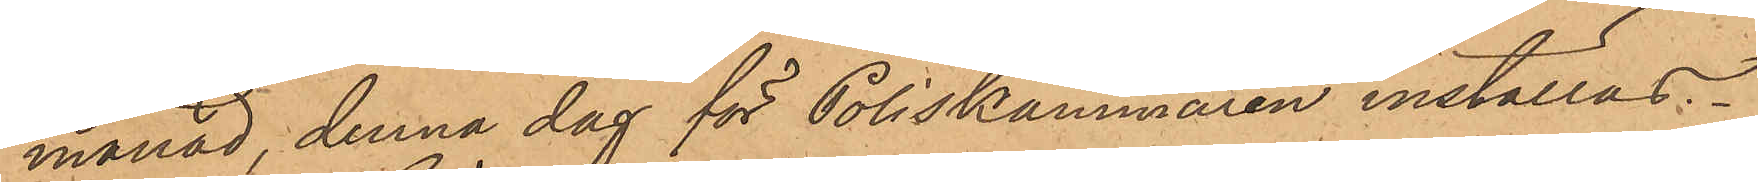månad, denna dag för Poliskammaren inställas.
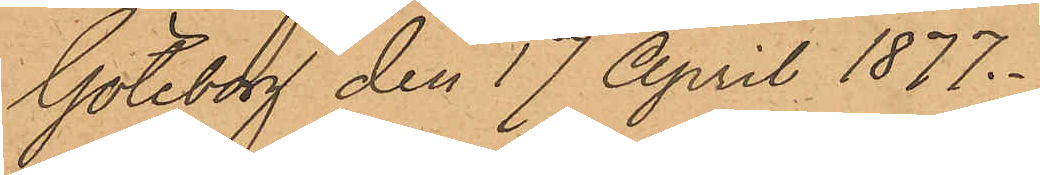Göteborg den 17 April 1877.
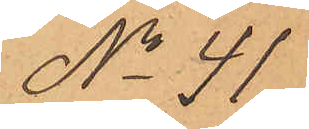No 41
